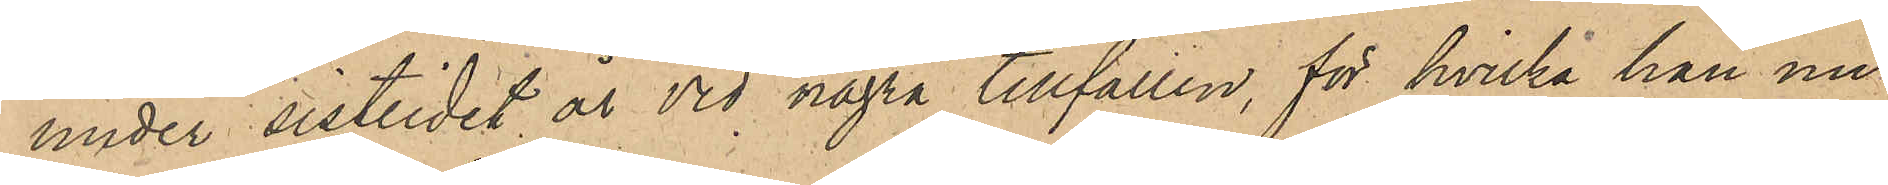under sistlidet år vid några tillfällen, för hvilka han nu
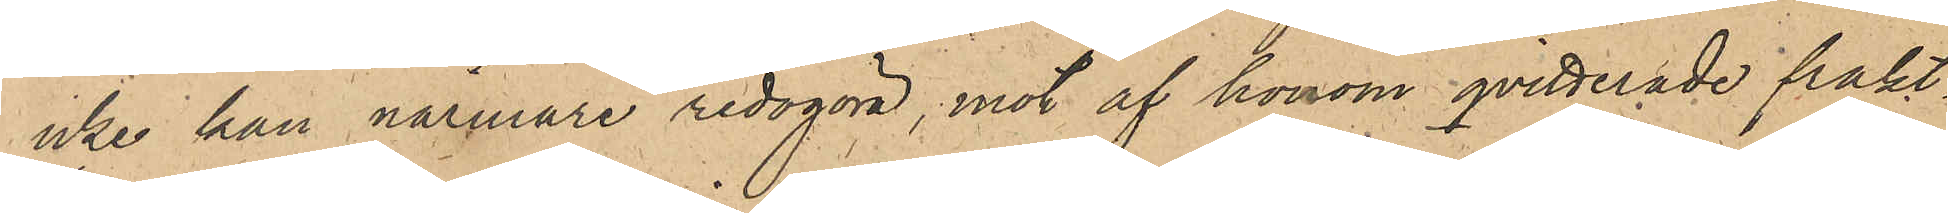icke kan närmare redogöra, mot af honom qvitterade frakt
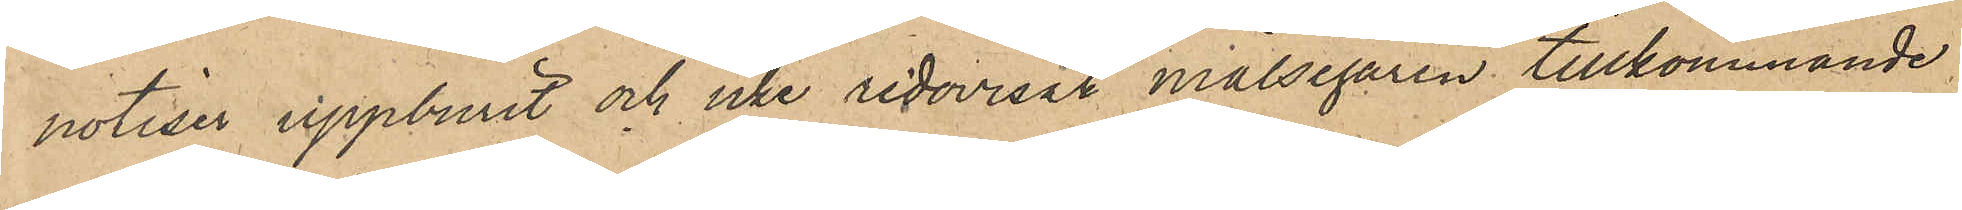notiser uppburit och icke redovisat målsegaren tillkommande
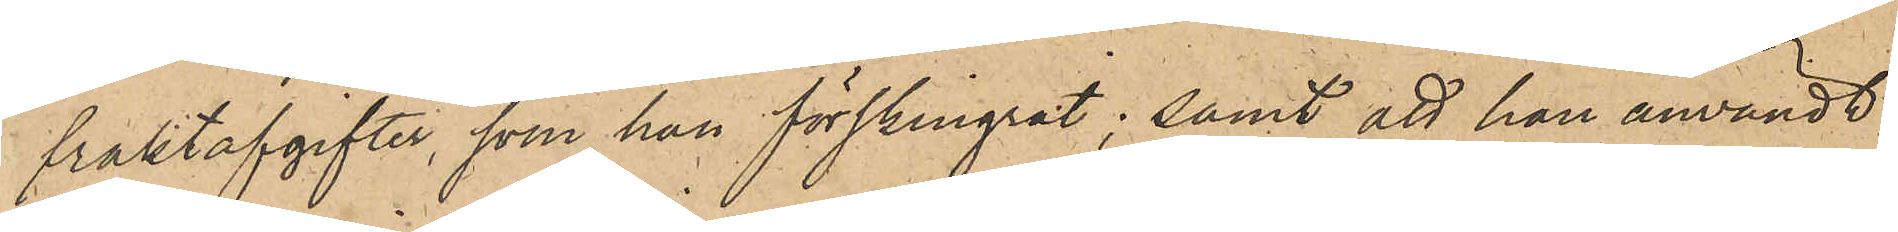fraktavgifter, som han förskingrat; samt att han användt
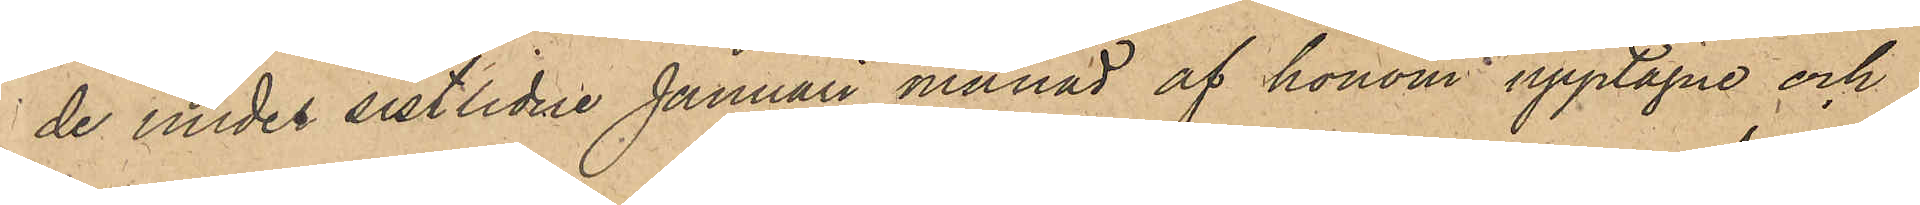de under sistlidne Januari månad af honom upptagne och
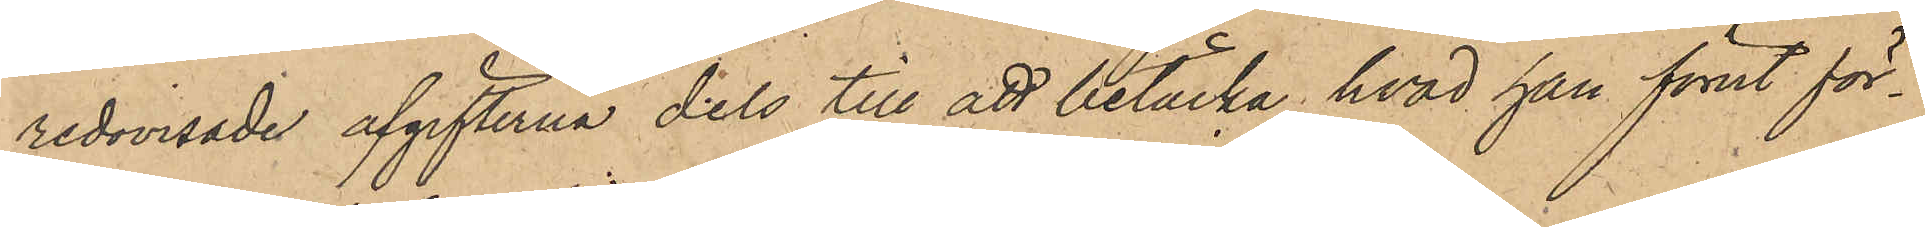redovisade afgifterna dels till att betäcka hvad han förut för¬
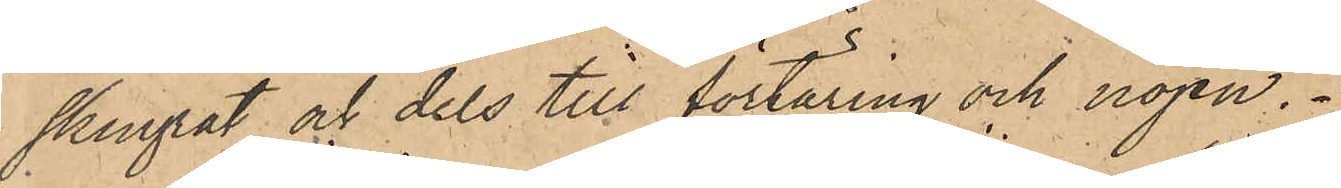skingrat och dels till förtäring och nöjen.
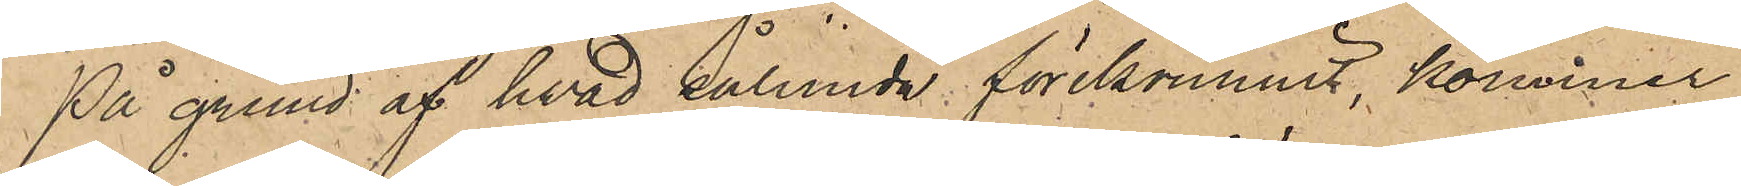På grund af hwad sålunda förekommit, kommer
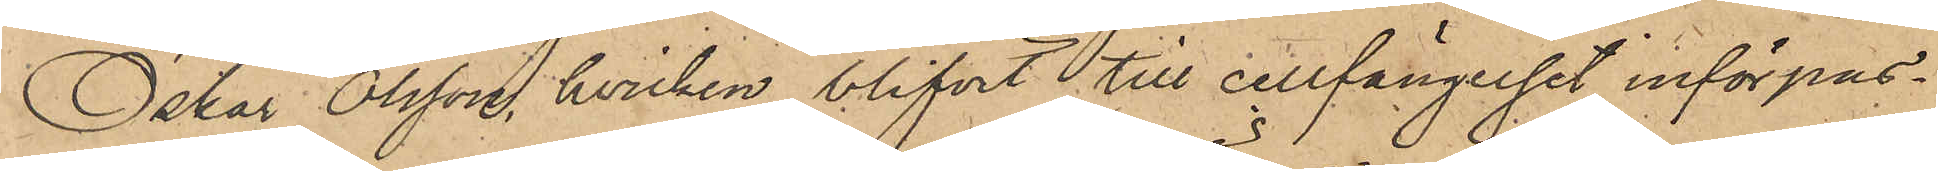Oskar Olsson, hvilken blifvit till cellfängelset införpas¬
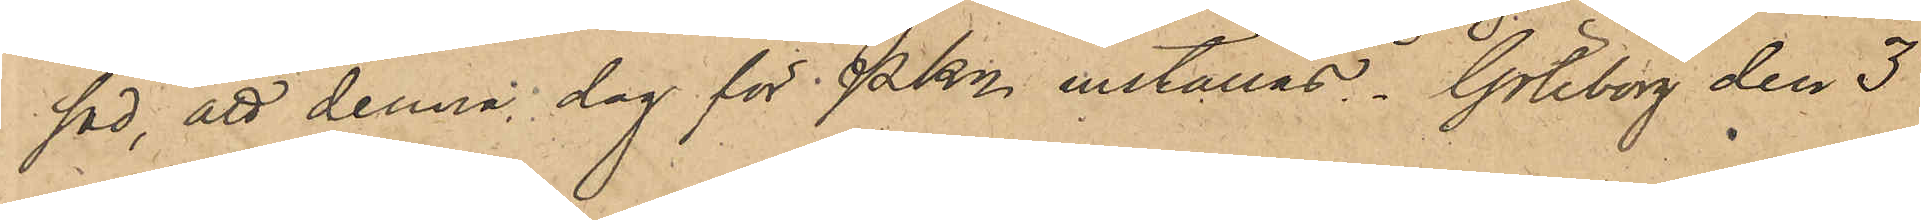sad, att denna dag för PKn inställas. Göteborg den 3
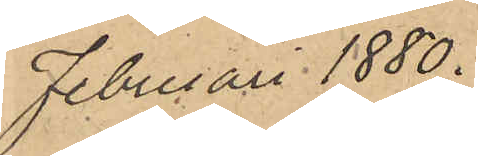Februari 1880.
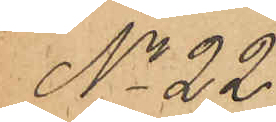No 22.
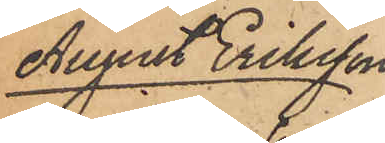August Eriksson
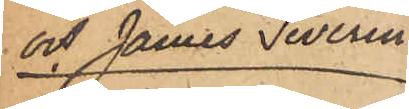och James Severin
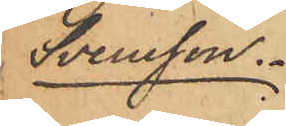Svensson.
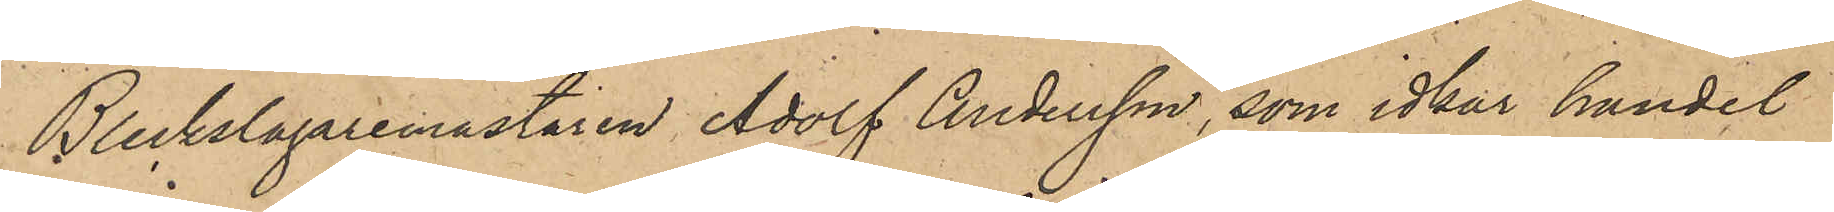Bleckslagaremästaren Adolf Andersson, som idkar handel
